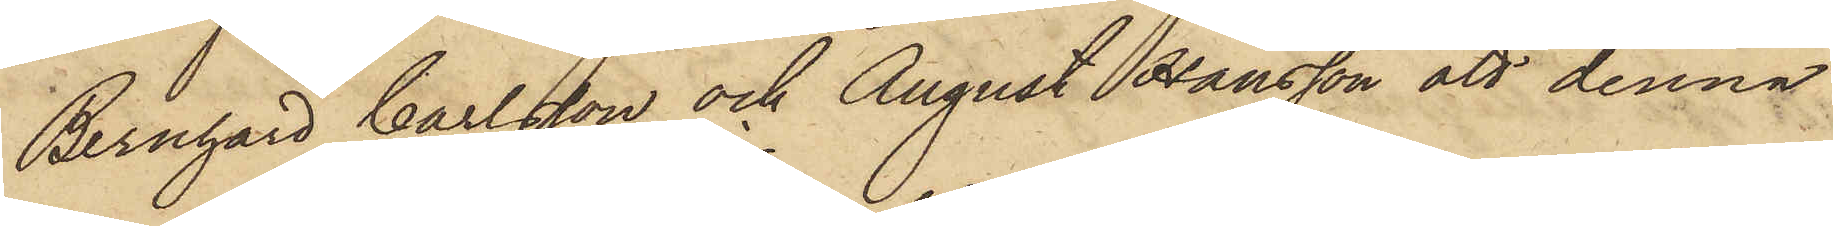Bernhard Carlsson och August Hansson att denna
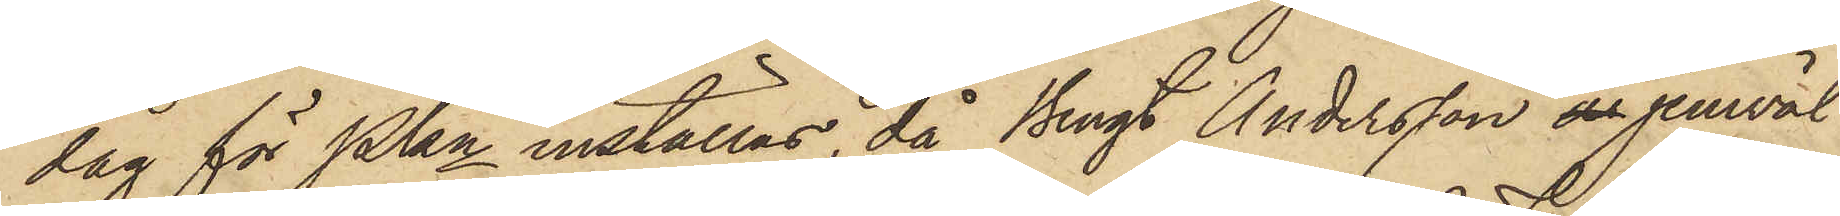dag för PKn inställas, då Bengt Andersson ar jemväl
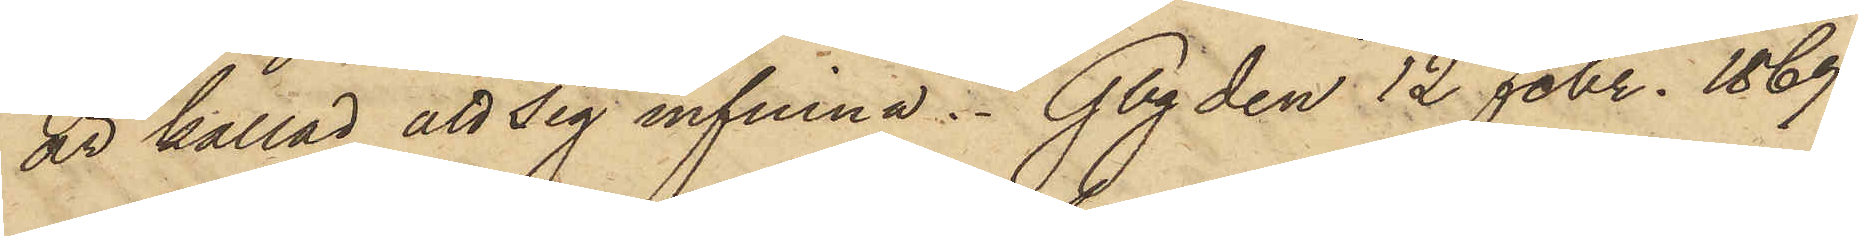är kallad att sig infinna. Gbg den 12 Febr. 1869.
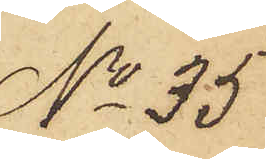No 35
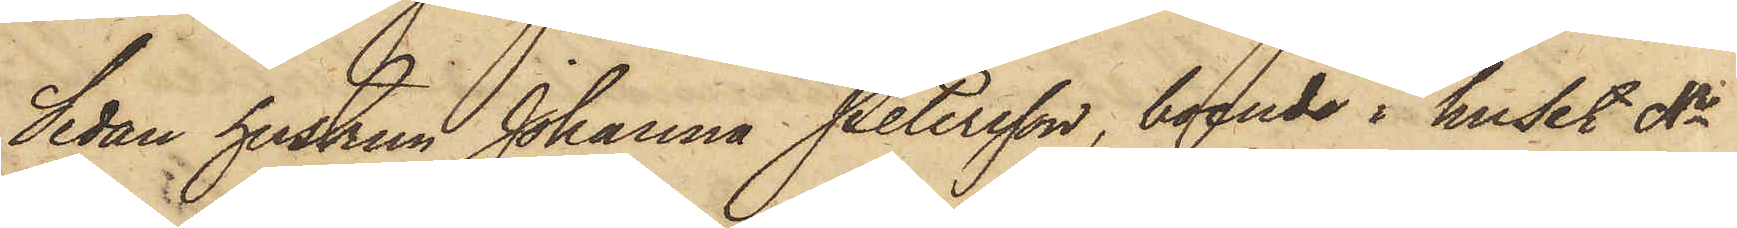Sedan hustrun Johanna Petersson, boende i huset No       
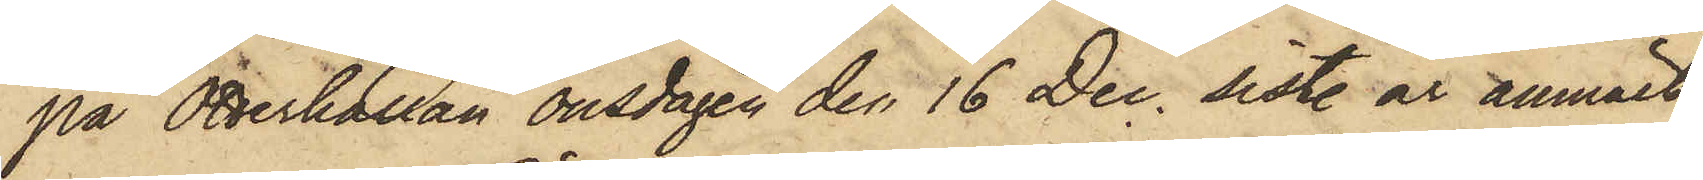på Otterhällan onsdagen den 16 Dec. sistl. år anmält
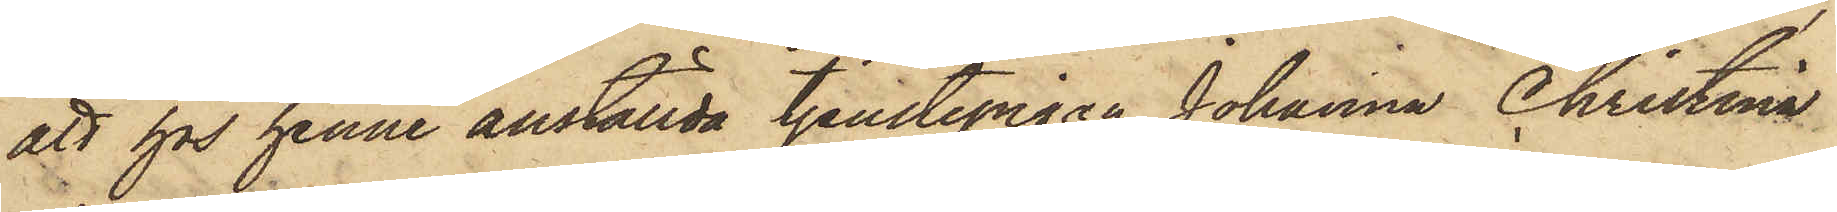att hos henne anställda tjenstepigan Johanna Christina
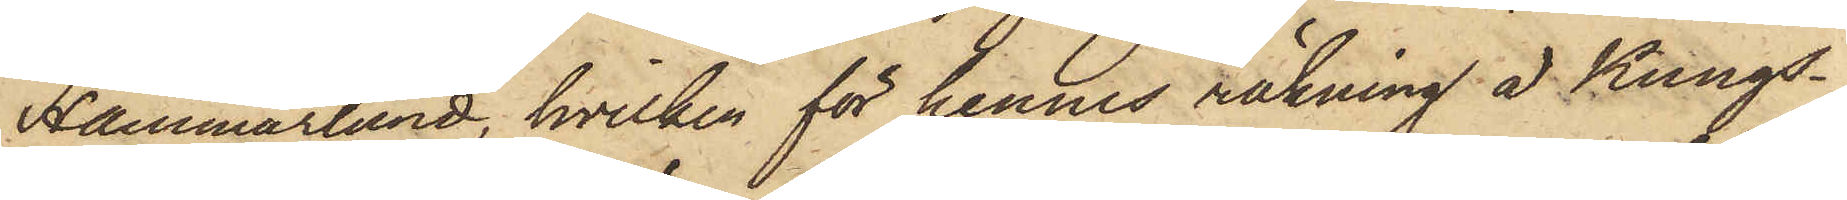Hammarlund, hvilken för hennes räkning å Kungs¬
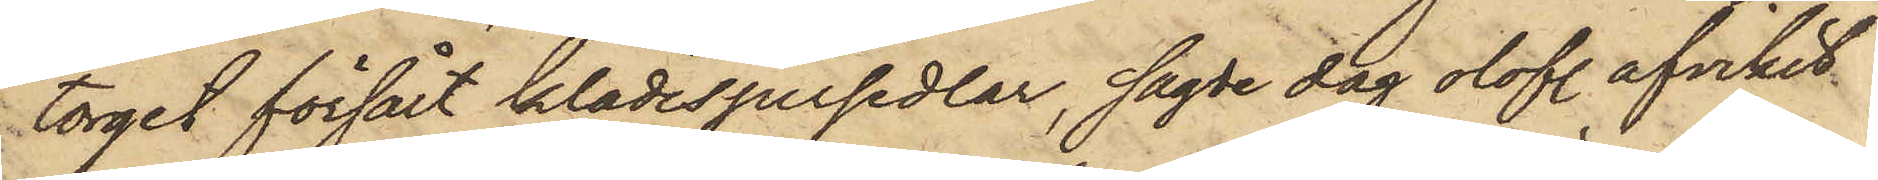torget försålt klädespersedlar, sagde dag olofl. afvikit
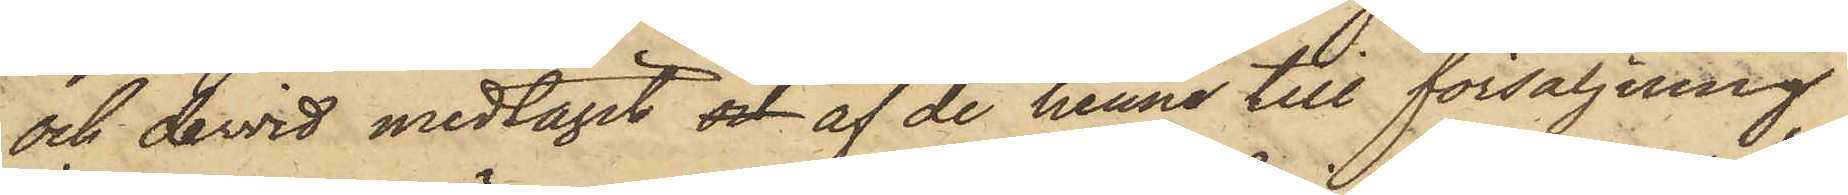och dervid medtagit och af de henne till försäljning
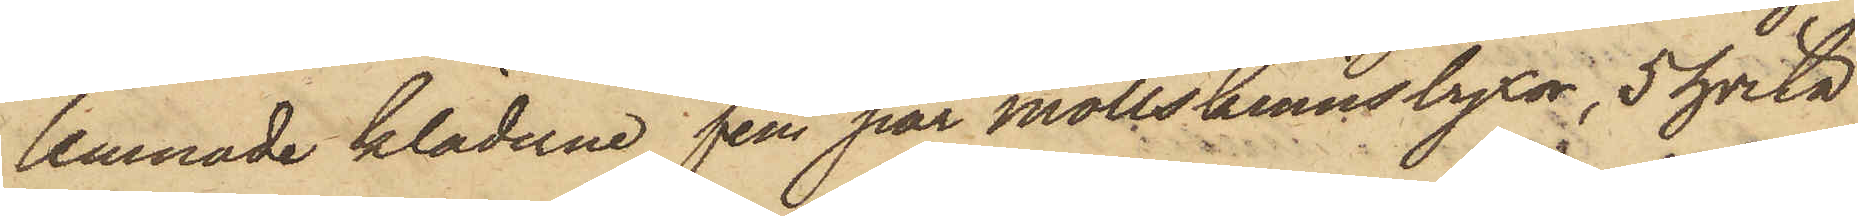lemnade kläderne fem par mollskinnsbyxor, 5 hvita
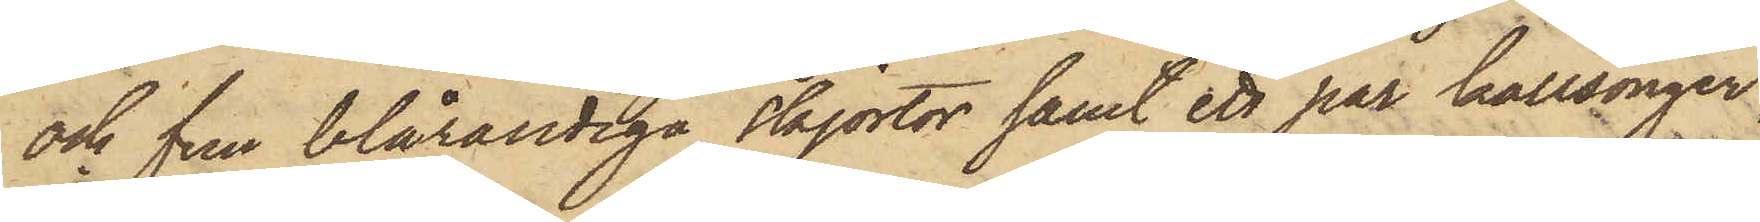och fem blårandiga skjortor samt ett par kallsonger
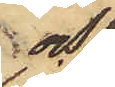och
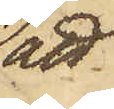att
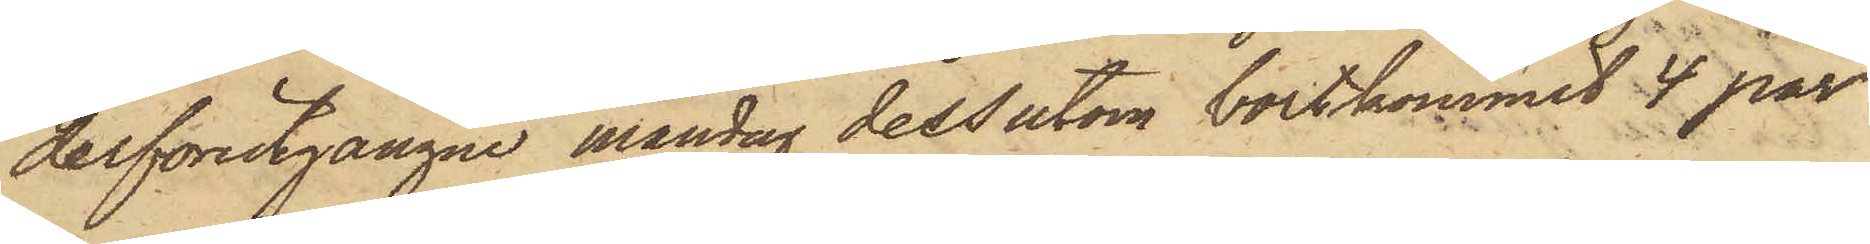derförutgångne måndag dessutom bortkommit 4 par
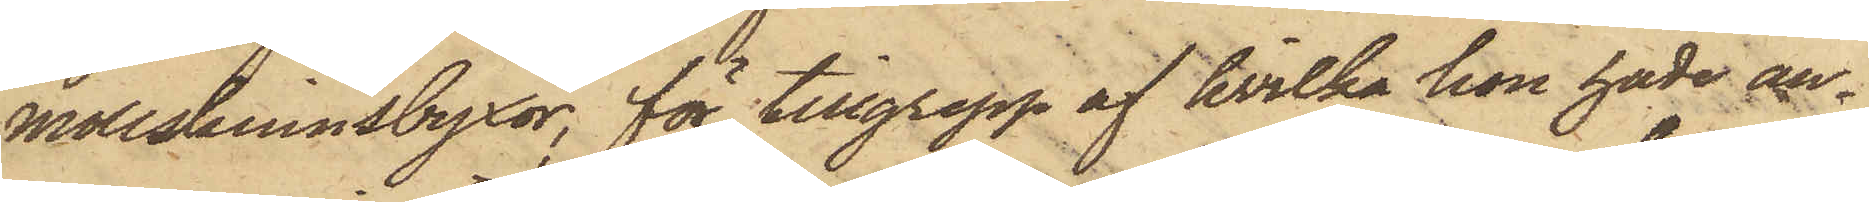mollskinnsbyxor, för tillgrepp af hvilka hon hade an¬
